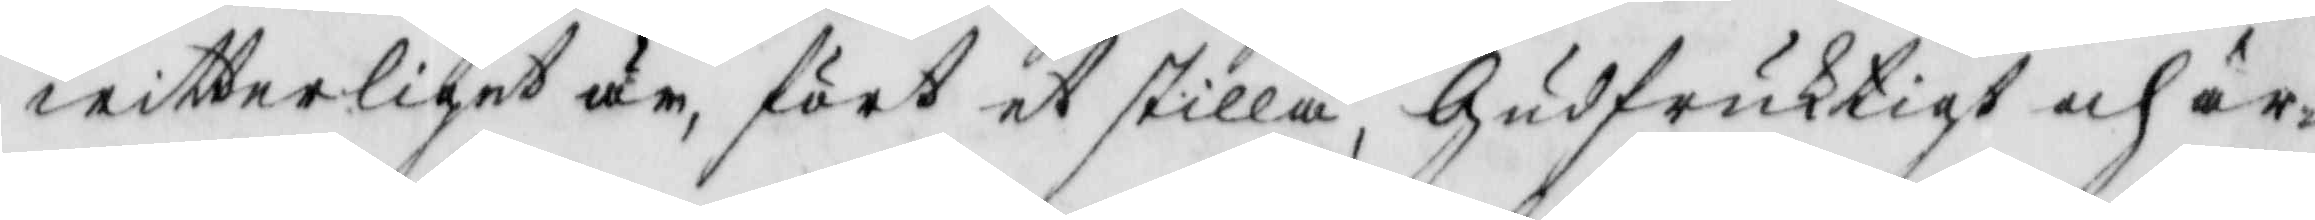witterliget är, fört et stilla, Gudfruktigt och är¬
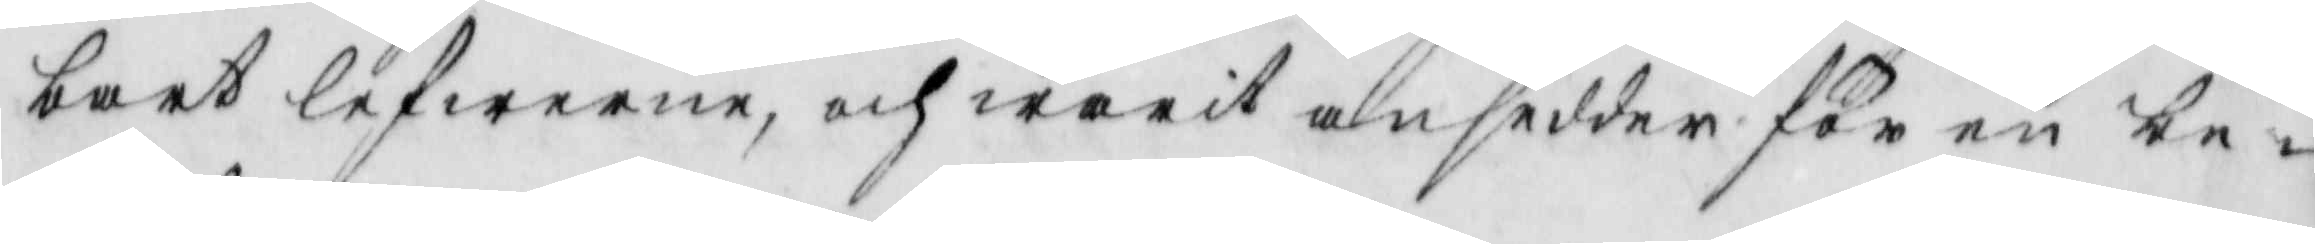bart lefwerne, och warit ansedder för en be¬
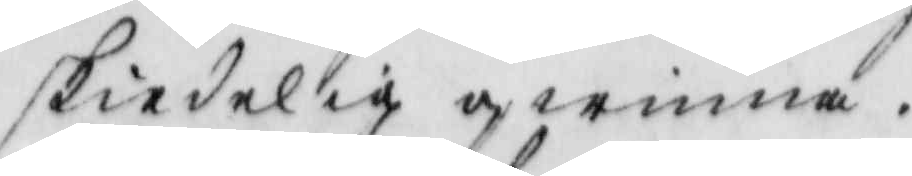skiedelig qwinna.
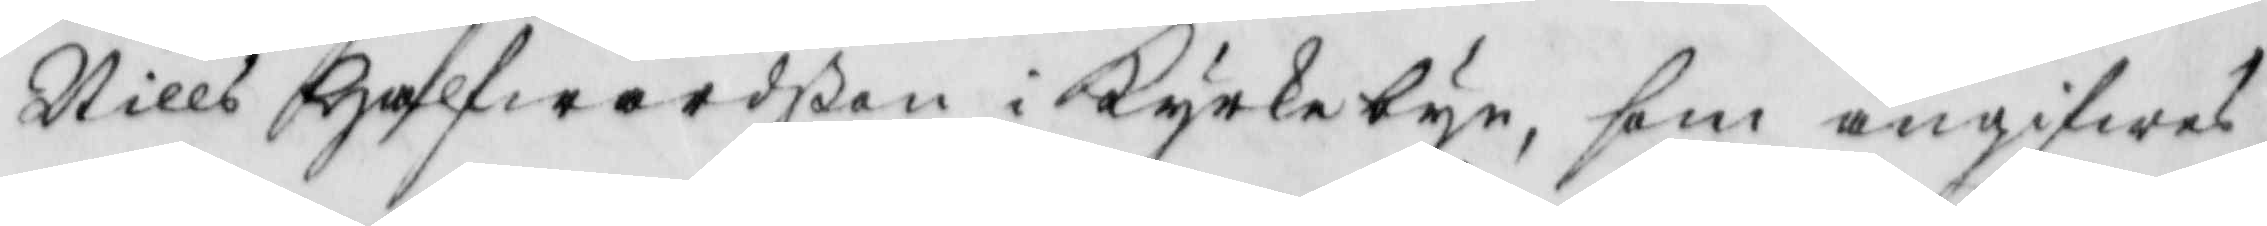Nills Halfwardßon i Kyrkebyn, som angifwes
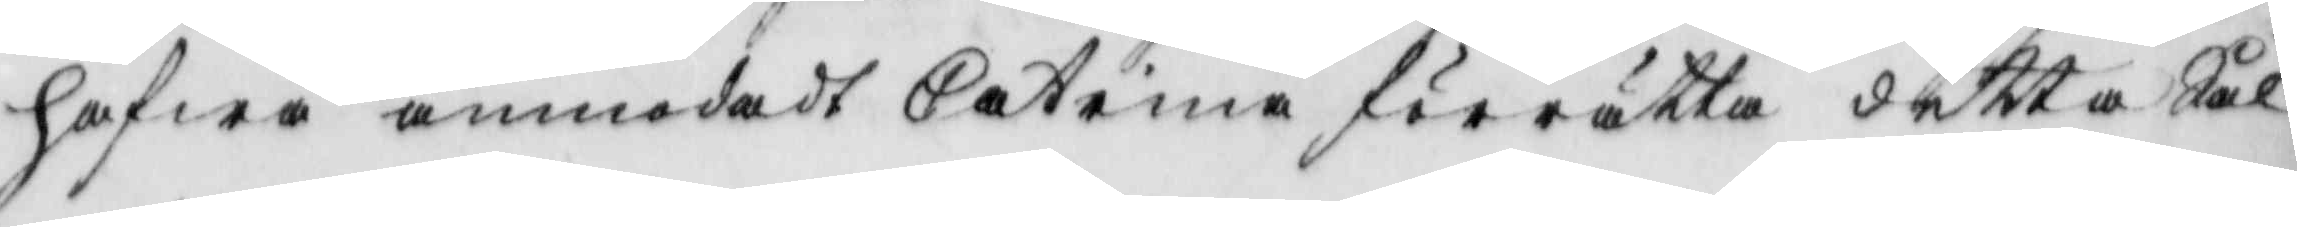hafwa anmodadt Catrina förrätta detta Sål¬
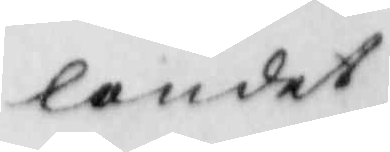landet
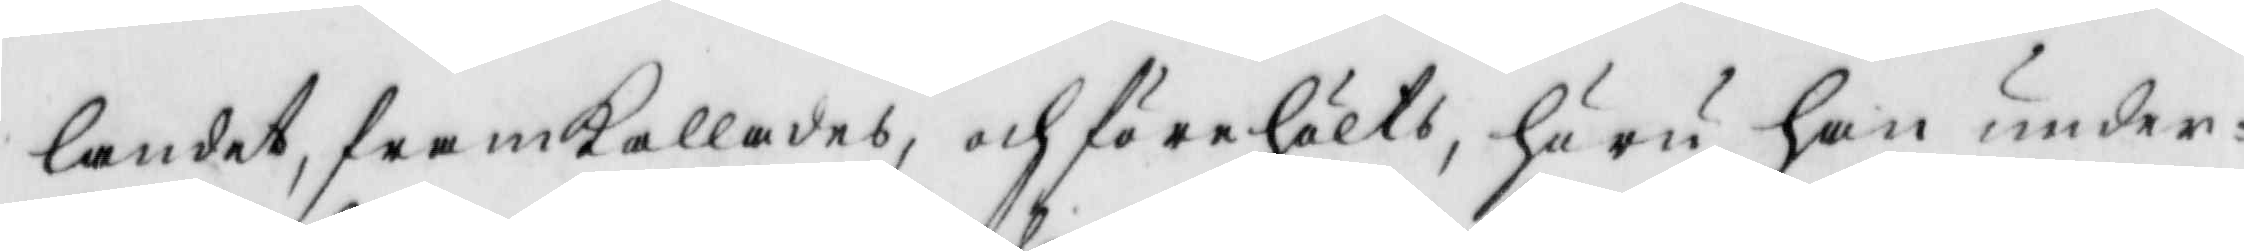landet, framkallades och förehölts, huru han under¬
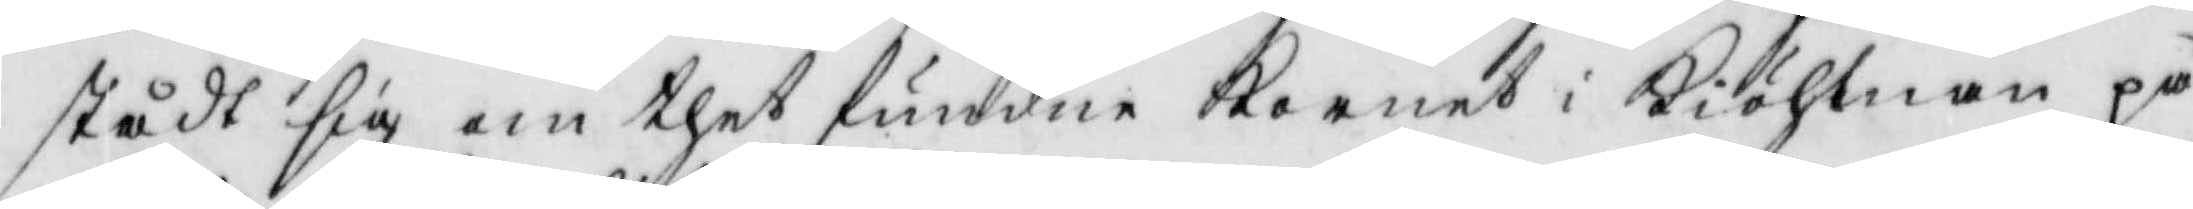stådt sig om thet fundne Kornet i Kiöhlnan på
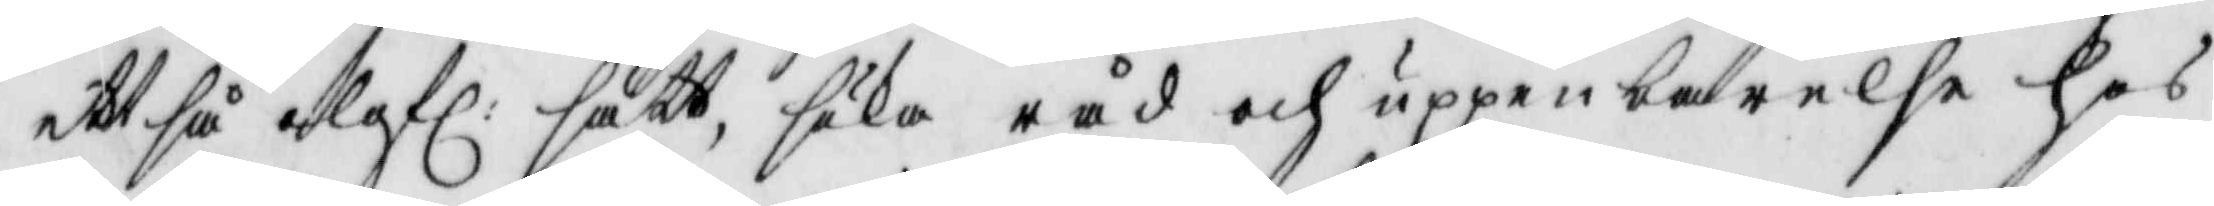att så olofl: sätt söka råd och uppenbarelse hos
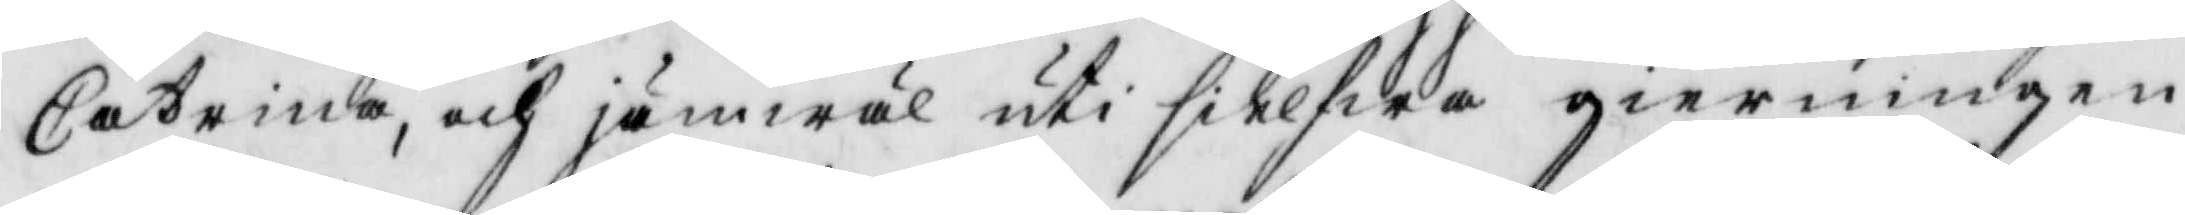Catrina, och jämwäl uti sielfwa gierningen
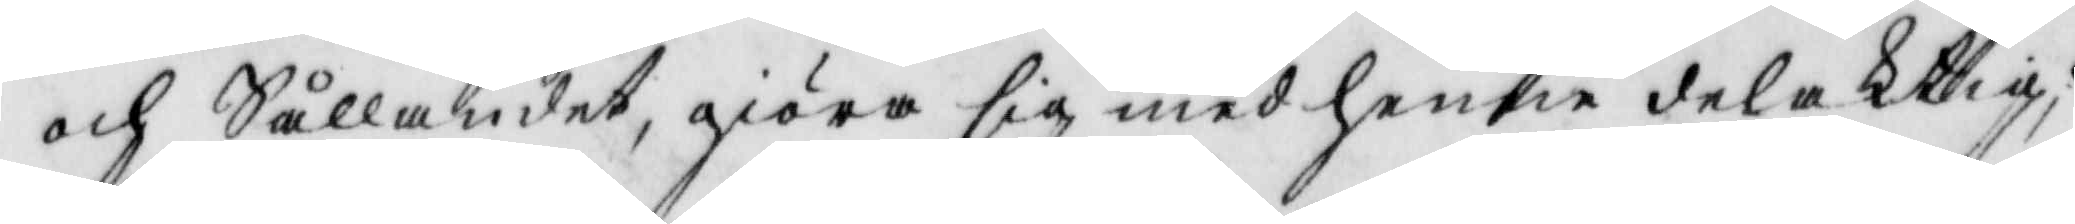och Sållandet, giöra sig med henne delaktig;
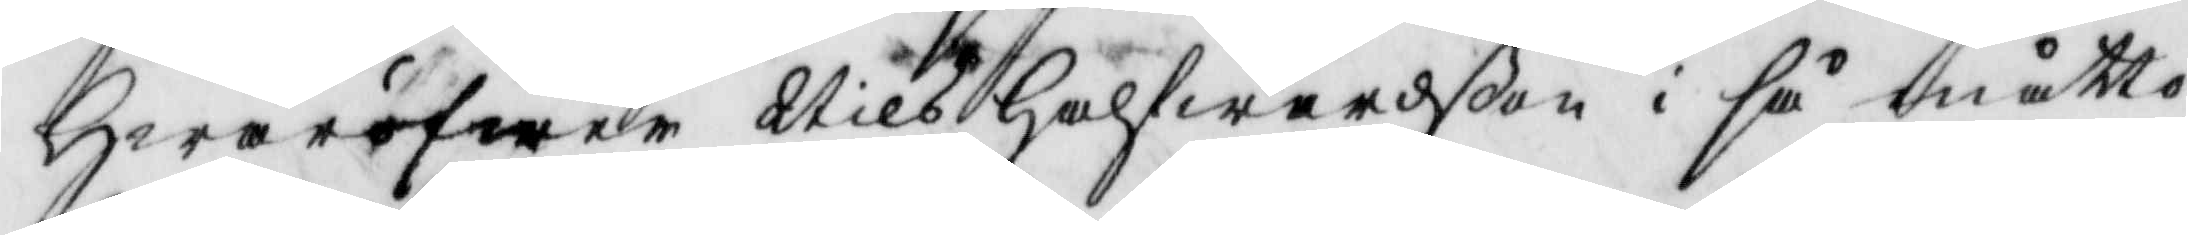Hwaröfwer Nils Halfwarßon i Så måtto
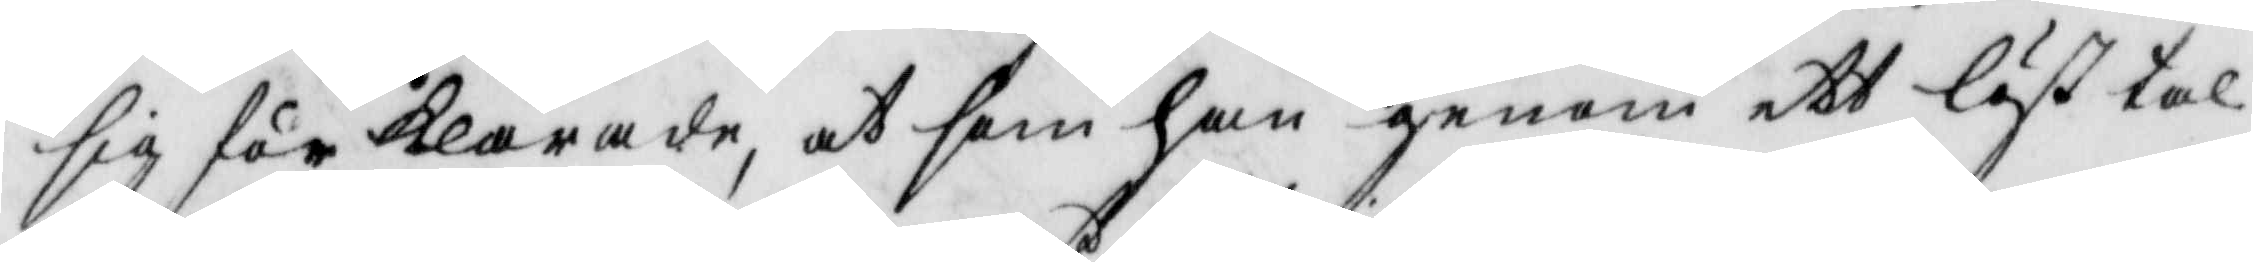sig för klarade, at som han genom ett löst tal
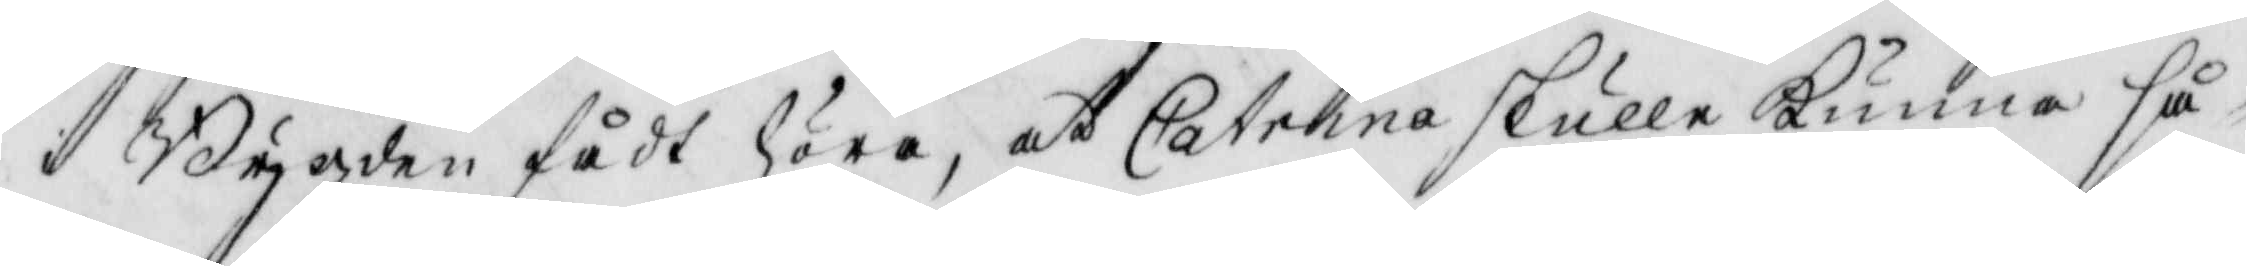i Bygden fådt höra, at Catrina skulle kunna så¬
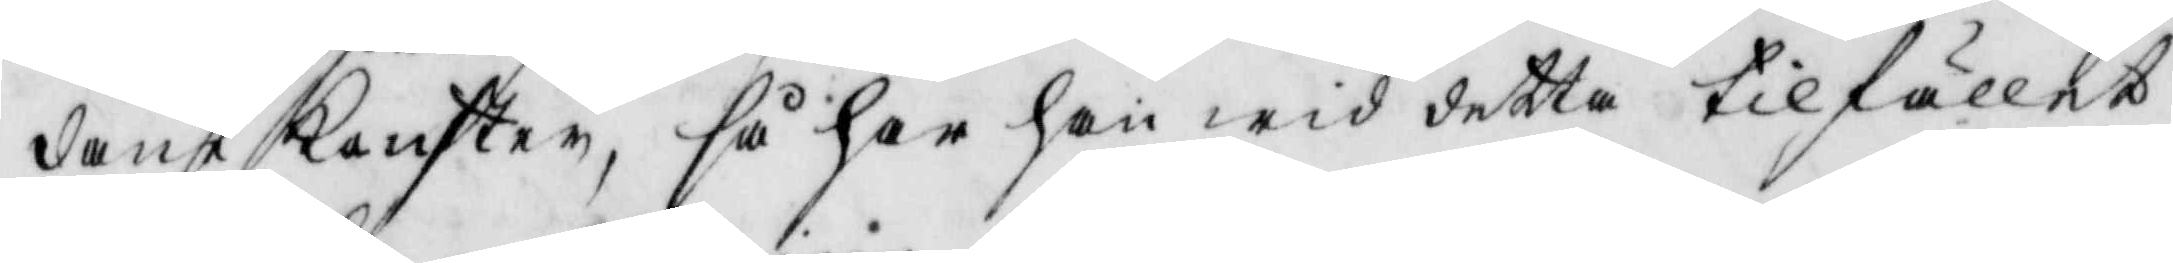dant Konster, så har han wid detta tilfället
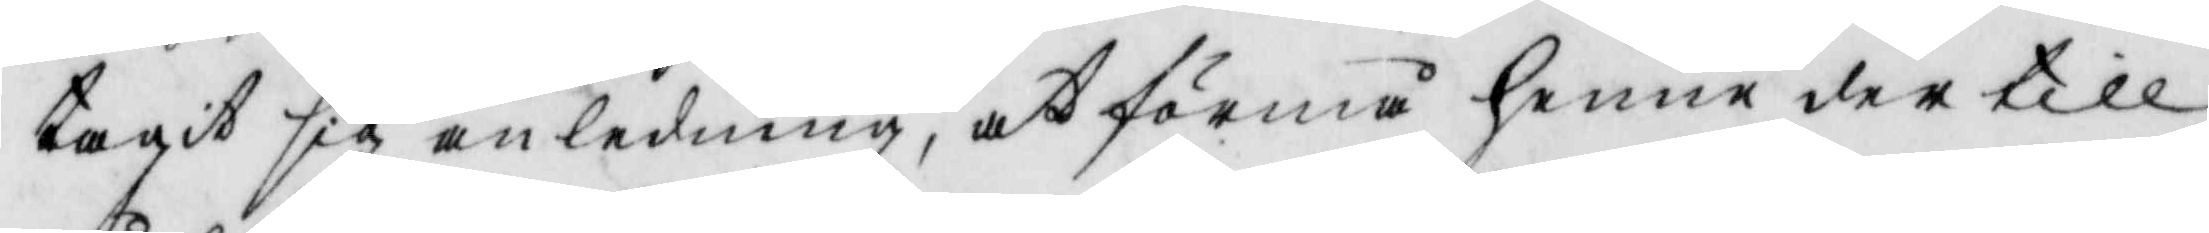tagit sig anledning, at förmå henne dertill
